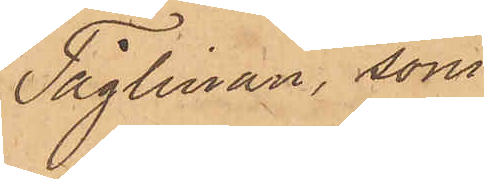Tåglinan, som
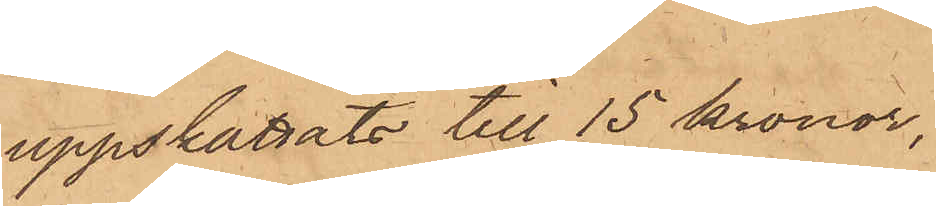uppskattats till 15 kronor,
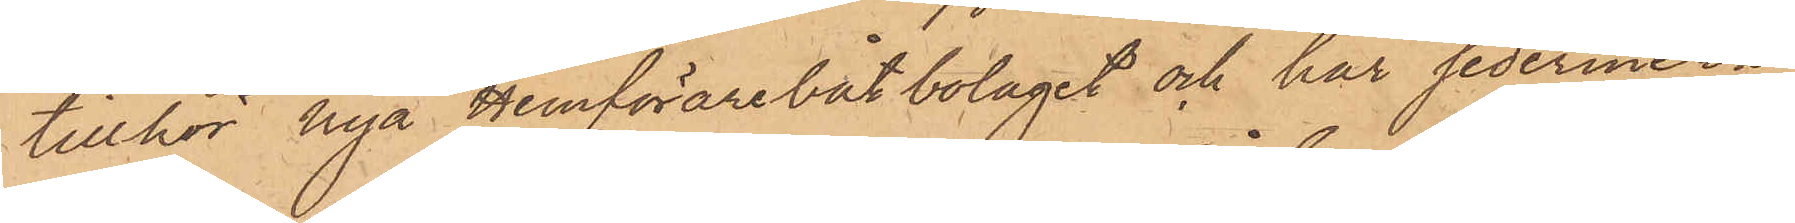tillhör Nya Hemförarebåtbolaget och har sedermera
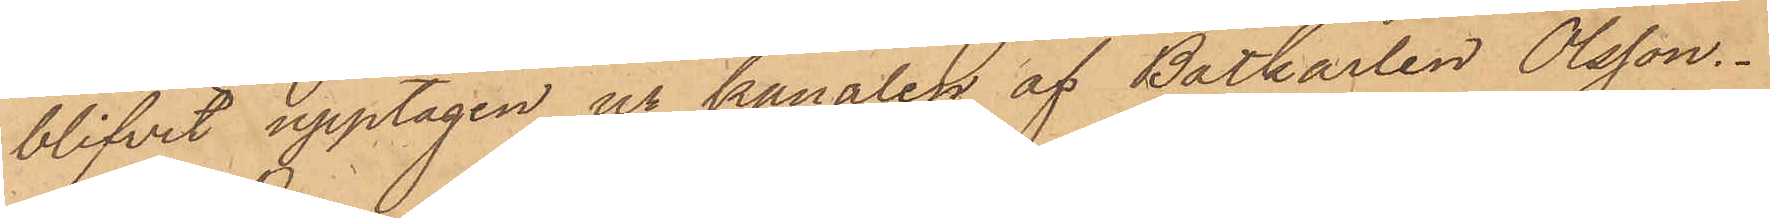blifvit upptagen ur kanalen af Båtkarlen Olsson.
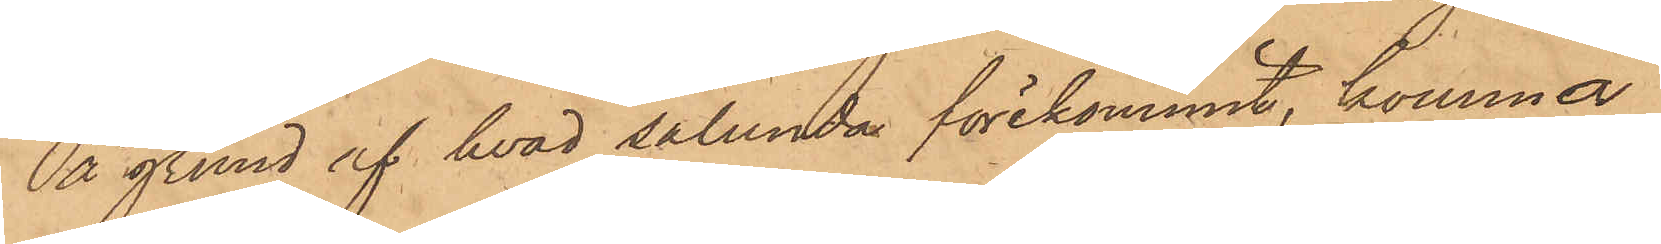På grund af hvad sålunda förekommit, komma
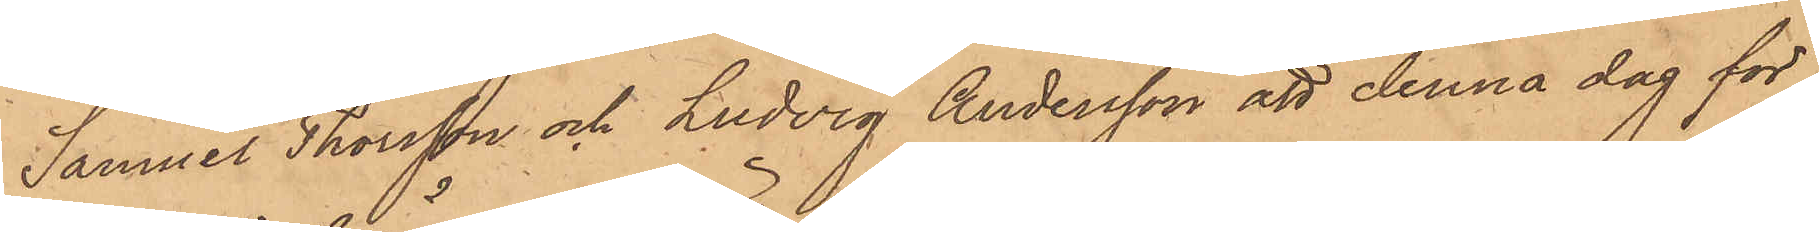Samuel Thorsson och Ludvig Andersson att denna dag för
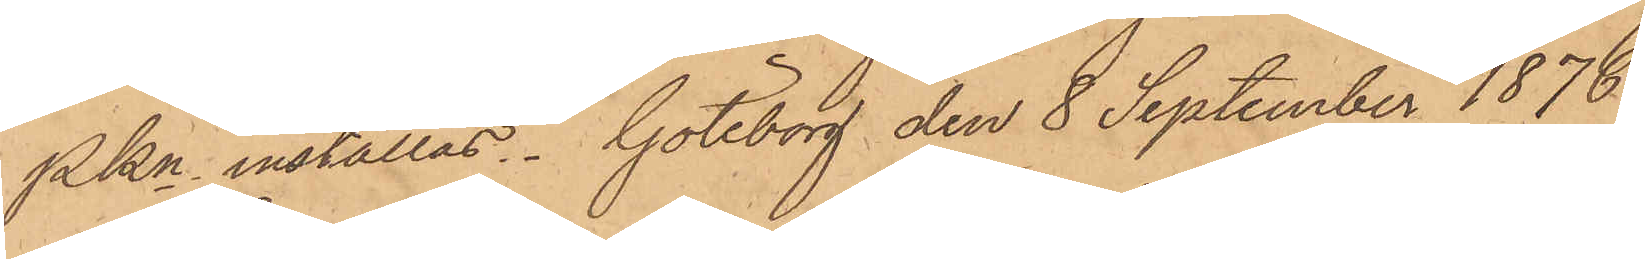PKn inställas. Göteborg den 8 September 1876.
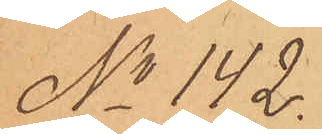No 142.
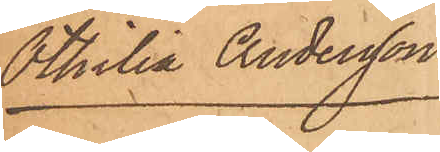Othilia Andersson
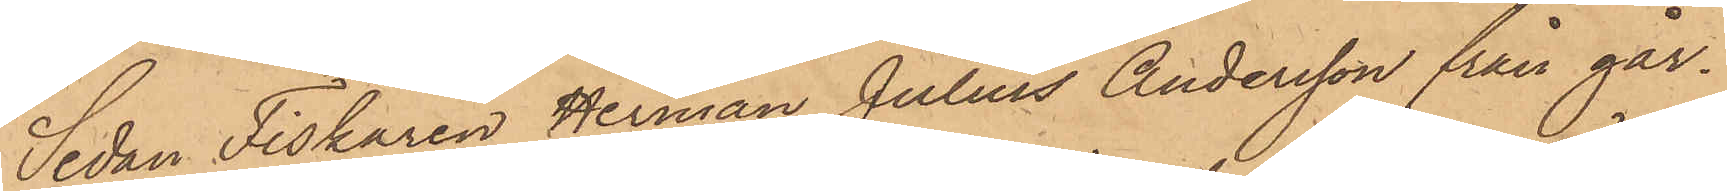Sedan Fiskaren Herman Julius Andersson från går¬
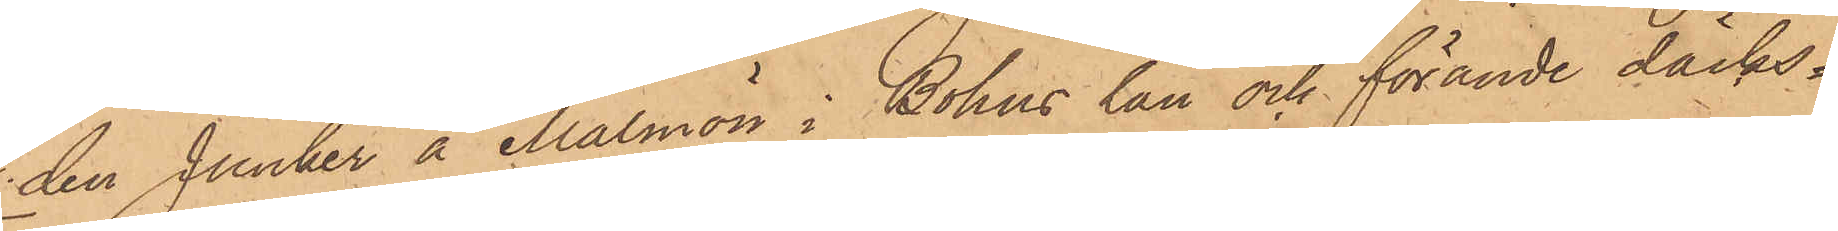den Junker å Malmön i Bohus län och förande däcks¬
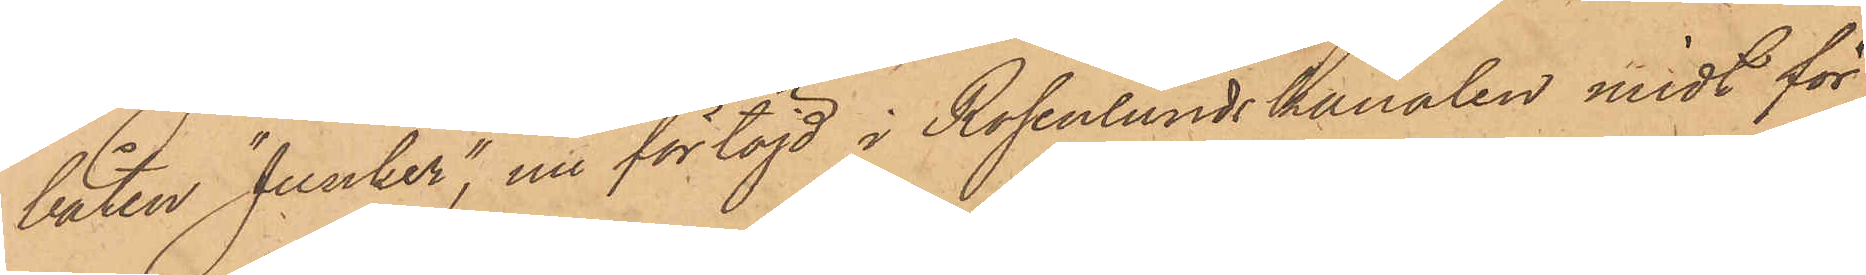båten "Junker", nu förtöjd i Rosenlundskanalen midt för
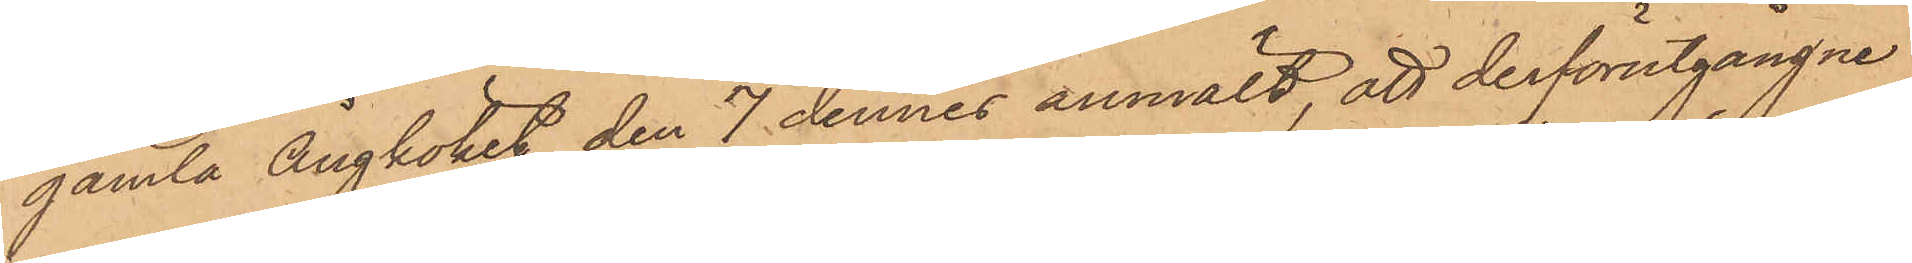gamla Ångköket den 7 dennes anmält, att derförutgångne
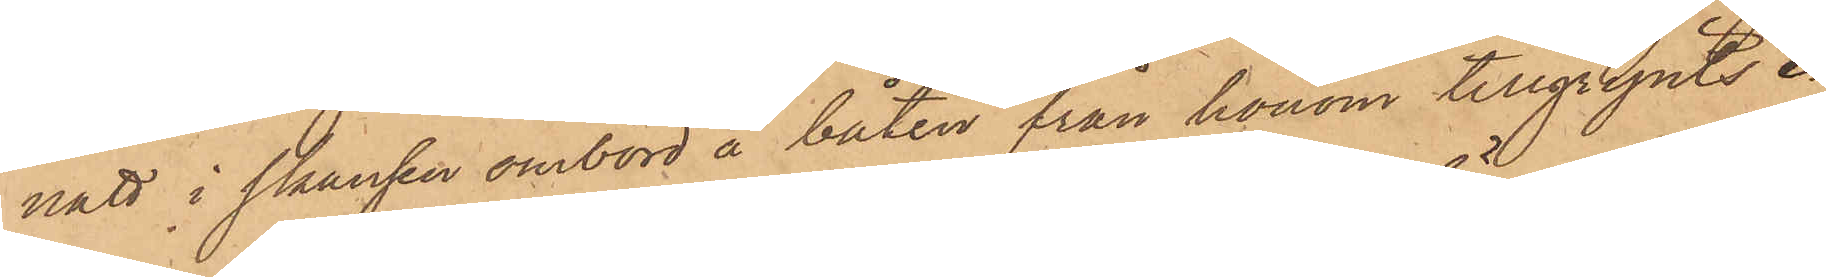natt i skansen ombord å båten från honom tillgripits e¬
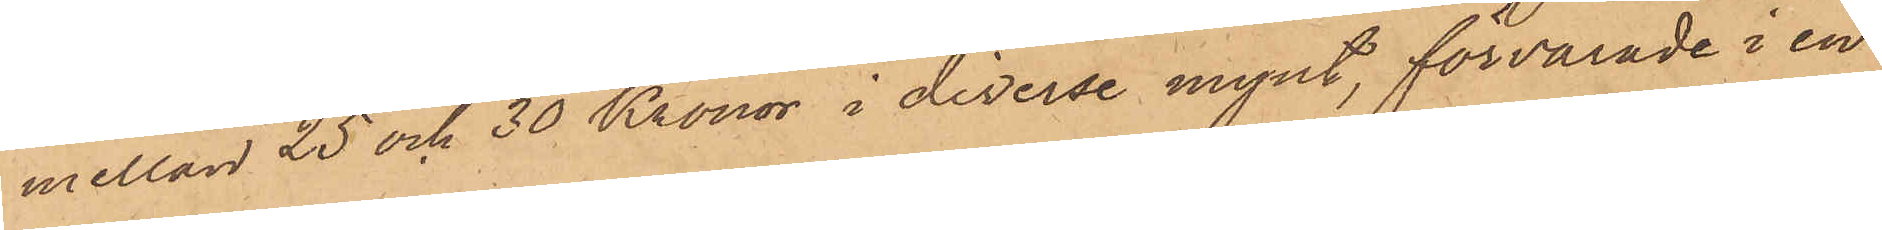mellan 25 och 30 Kronor i diverse mynt, förvarade i en
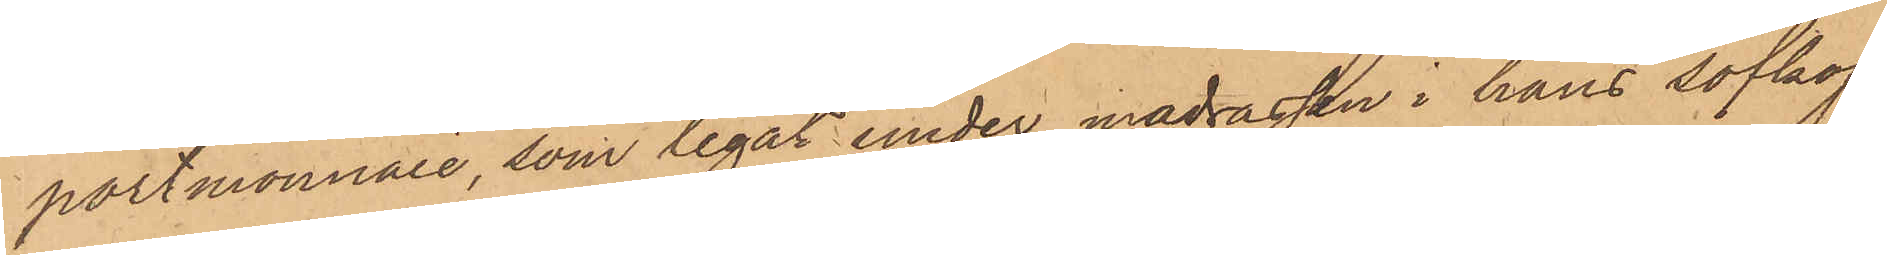portmonnaie, som legat under madrassen i hans sofkoj;
